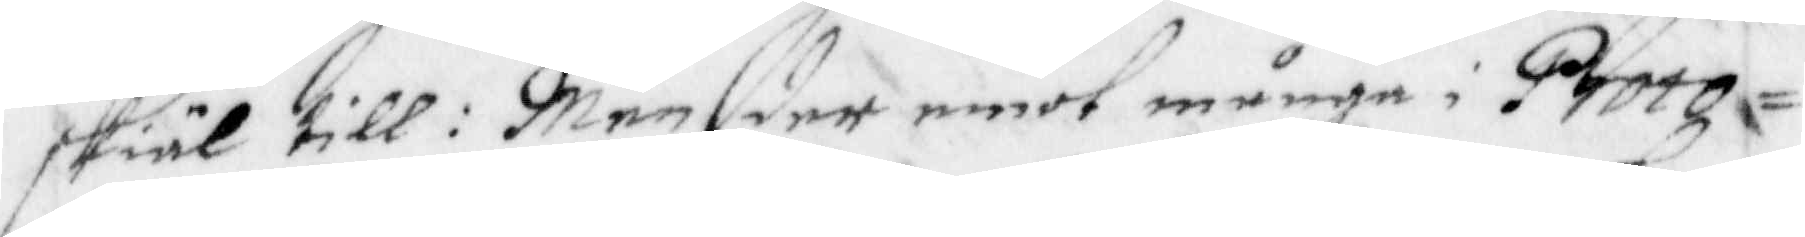skiäl till: Men der emot många i Proto¬
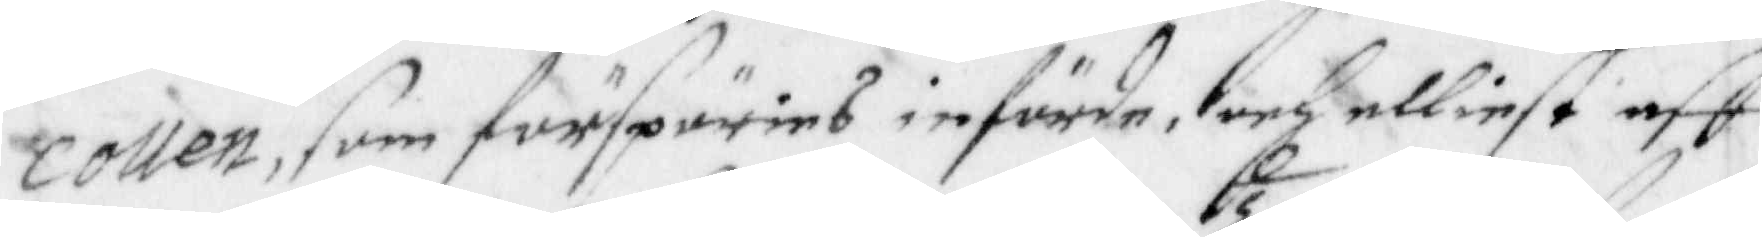collen, som förspöries införde, och elliest aff
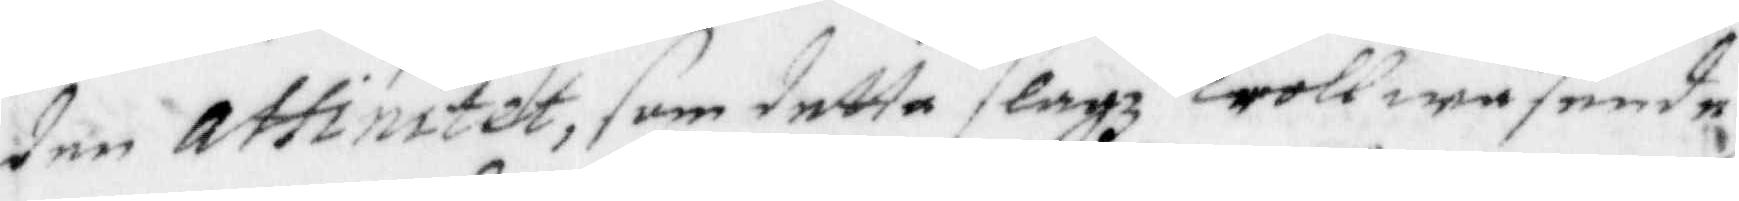den attinitet, som detta slagz trollwäsende
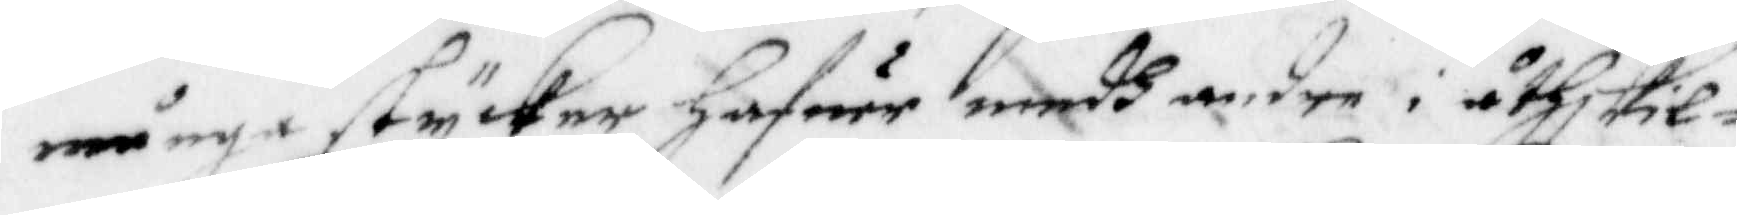i många stycker hafuer medh andre i åthskil¬
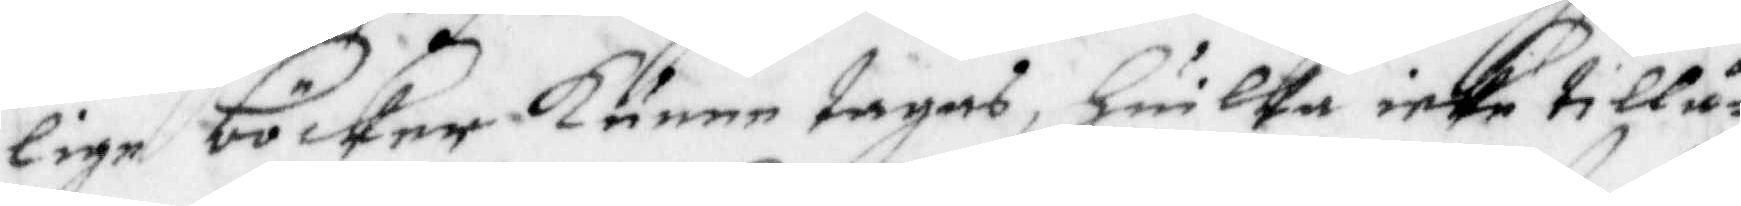lige böcker kunne tagas, Huilka icke tillå¬
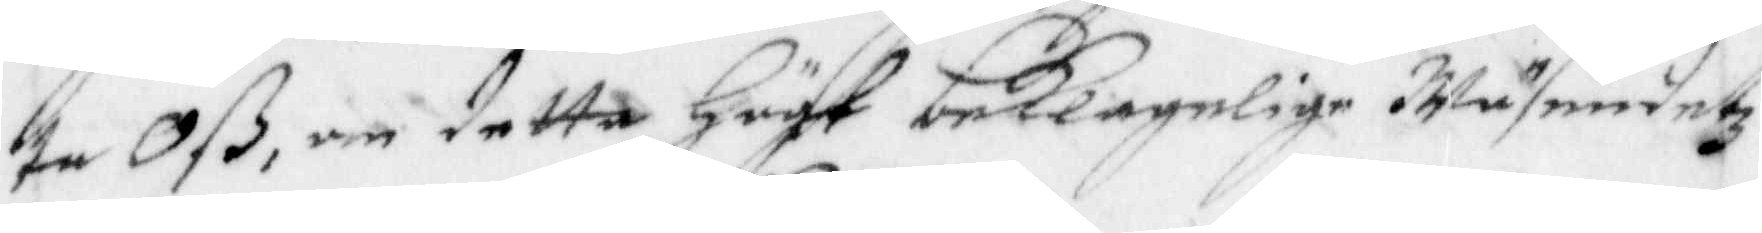te Oß, om detta högst beklagelige Wäsendetz
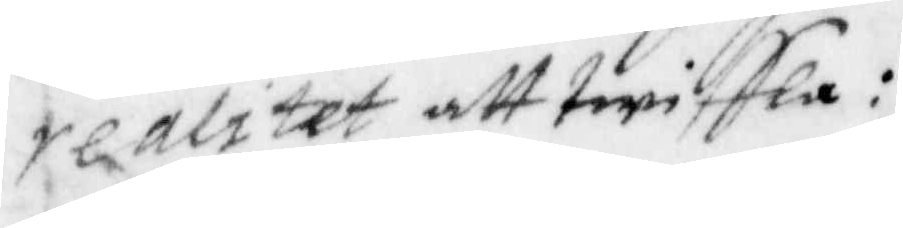realitet att twiffla:
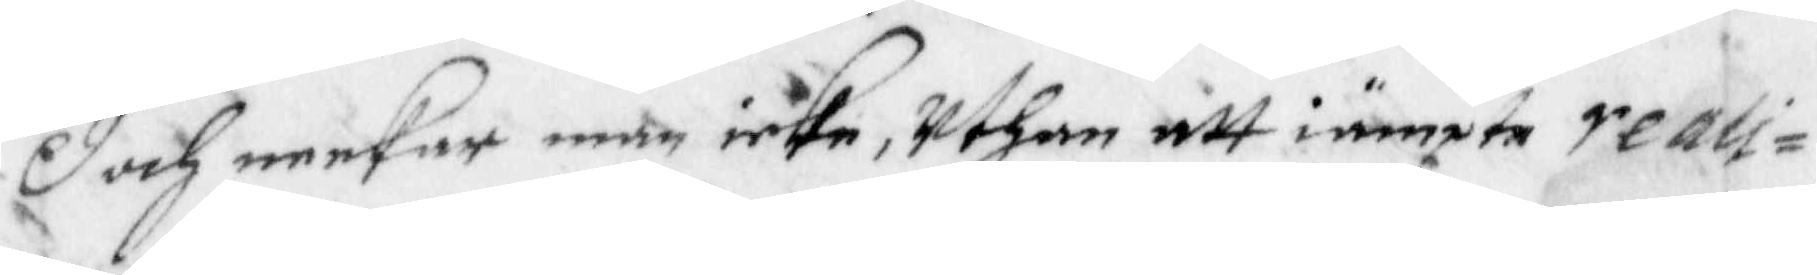Doch neekar man icke, uthan att iämpte reali¬
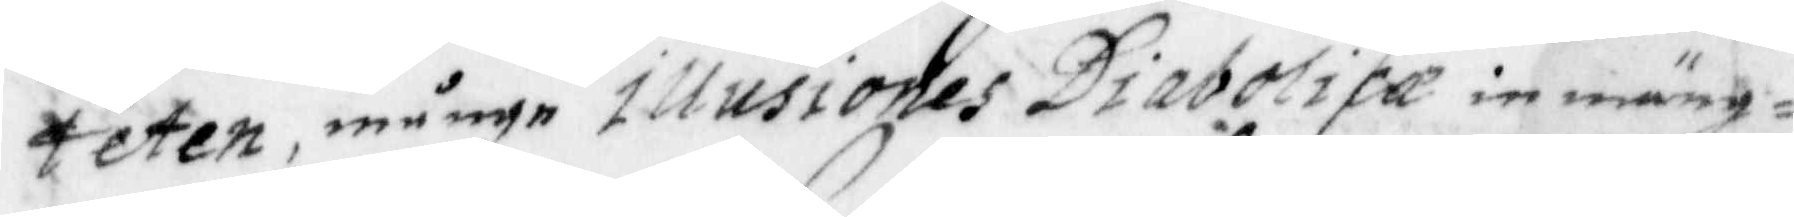teten, många illusiones Diaboloca in mäng¬
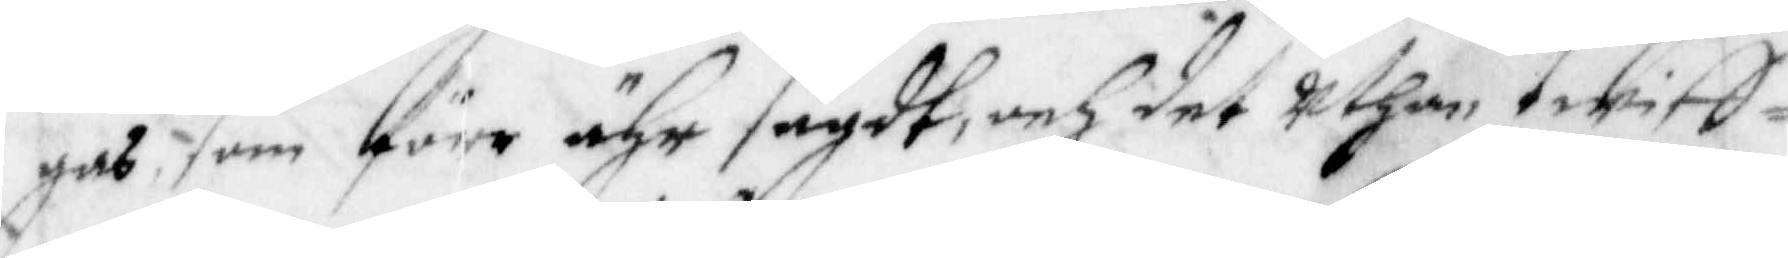gas, som före ähr sagdt, och det uthan twiff¬
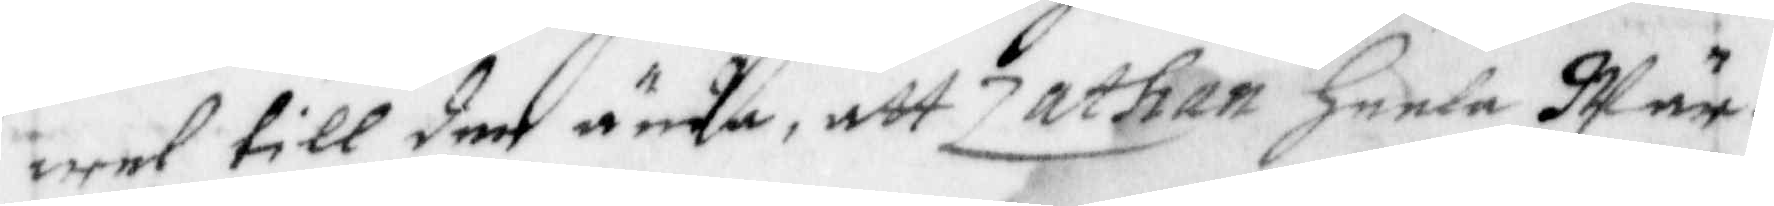wel till den ända, att Zathan heela Wär¬
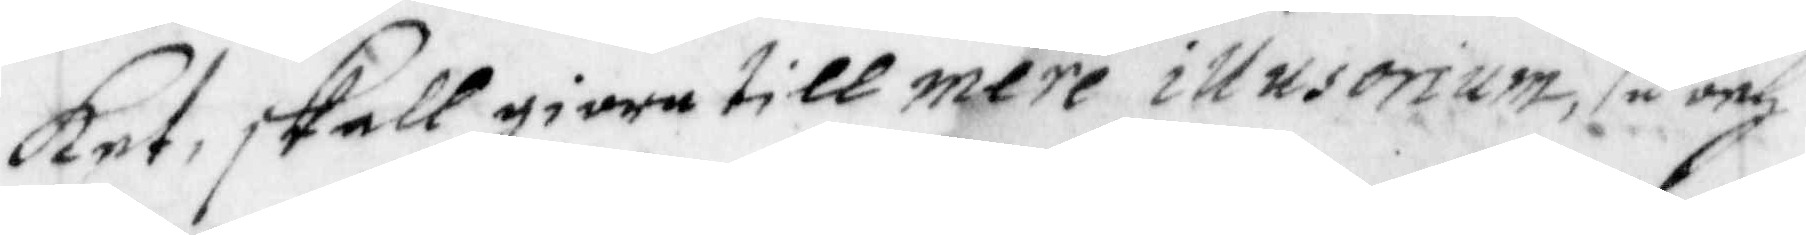ket, skall giora till mere illusorium, så och
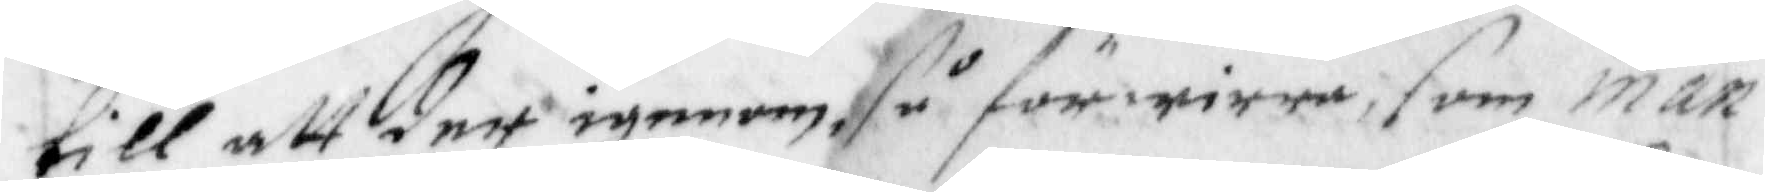till att deet igenom, så förwirra, som man¬
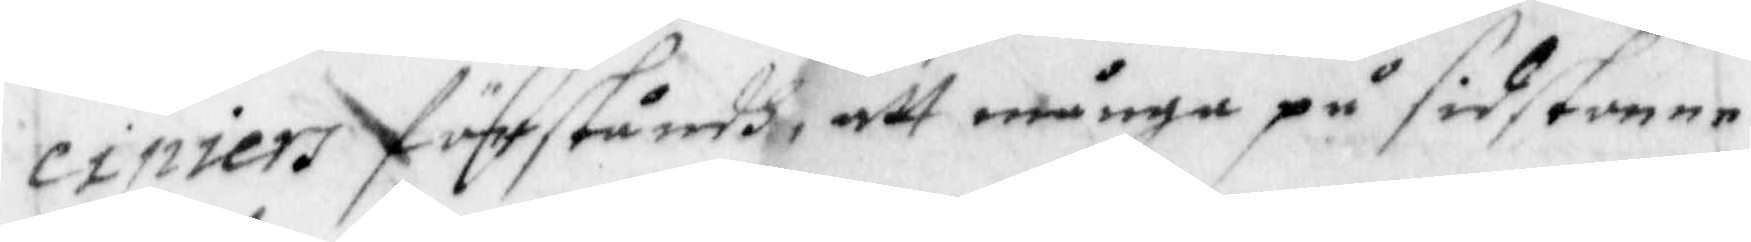cipiers förstånh, att många på sidstonne
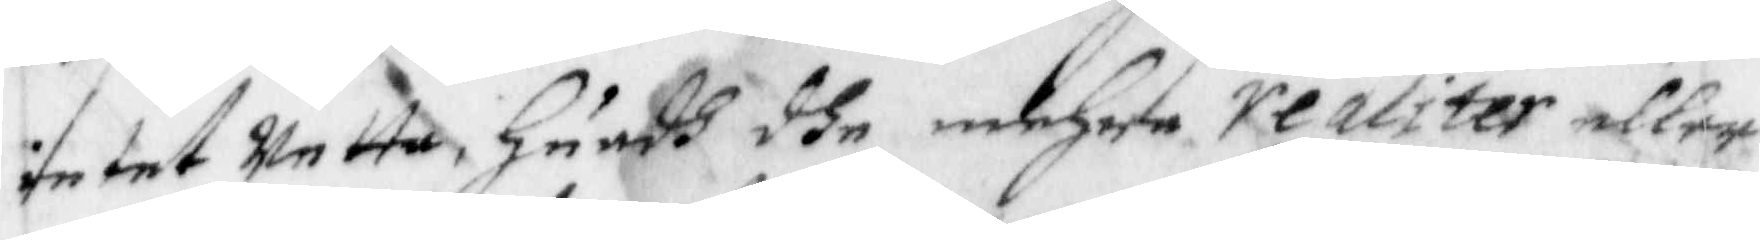intet Wetta Huadh dhe mehre realiteter eller
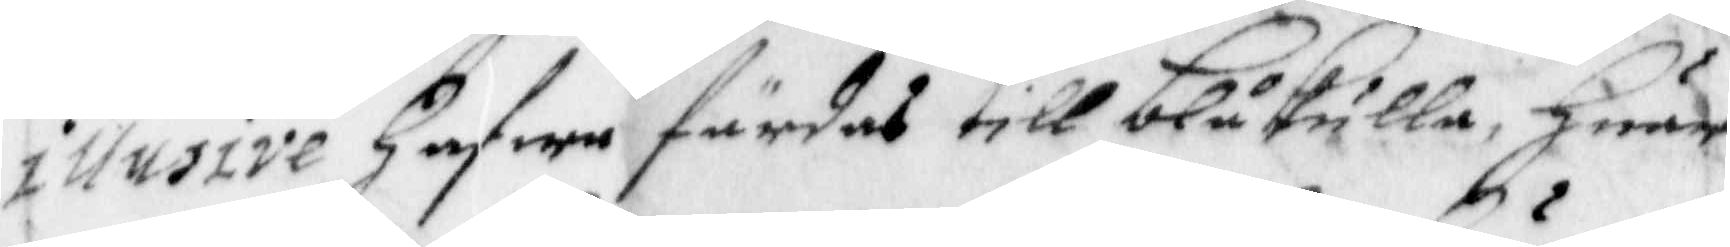illusive Hafwa färdas till blåkulla, Huar
